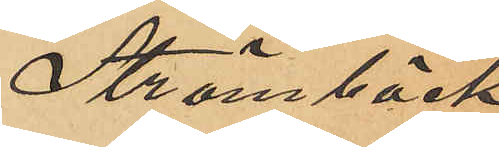Strömbäck
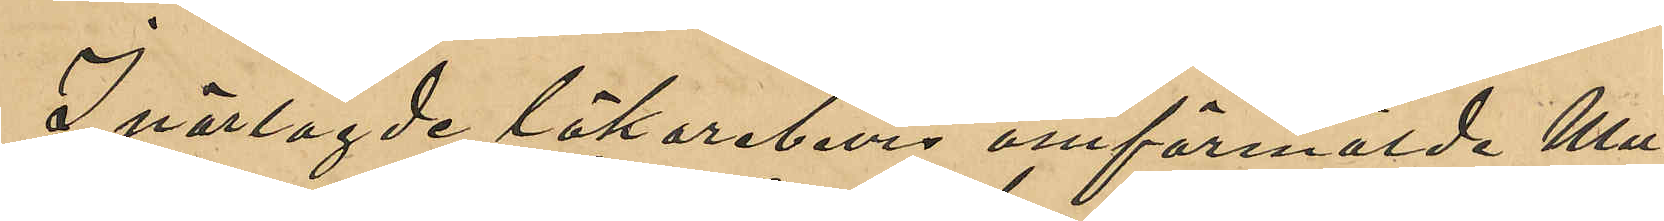I närlagda läkarebevis omförmälde Mu¬
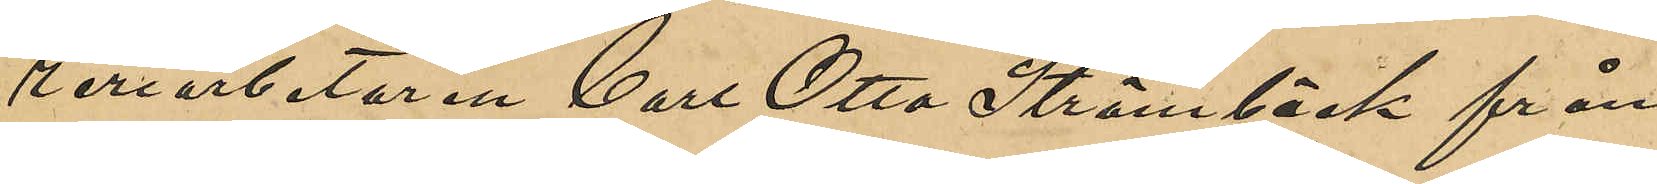reriarbetaren Carl Otto Strömbäck från
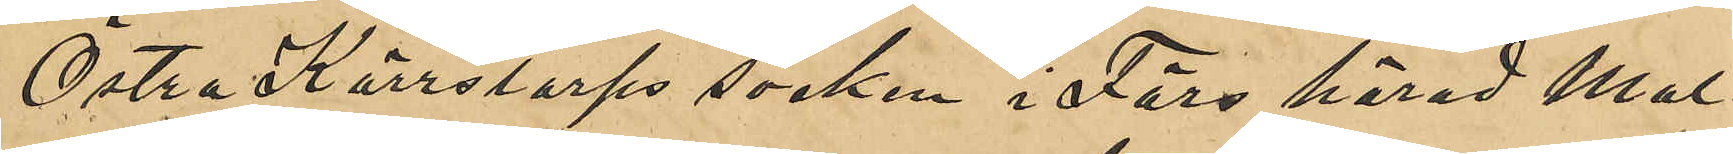Östra Kärrtorps socken i Färs härad Mal¬
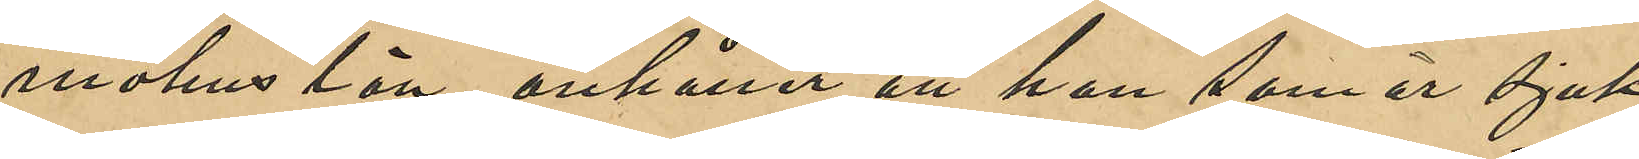möhus län, anhåller att han som är sjuk
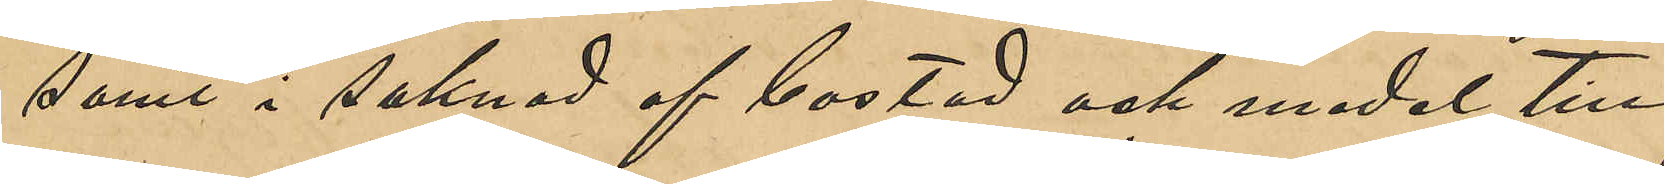samt i saknad af bostad och medel till
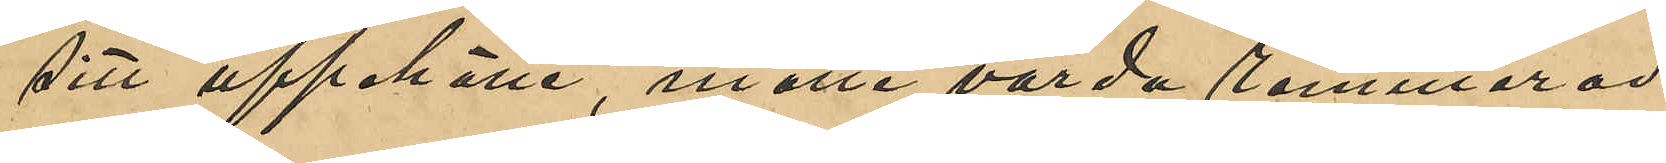sitt uppehälle, måtte varda remitterad
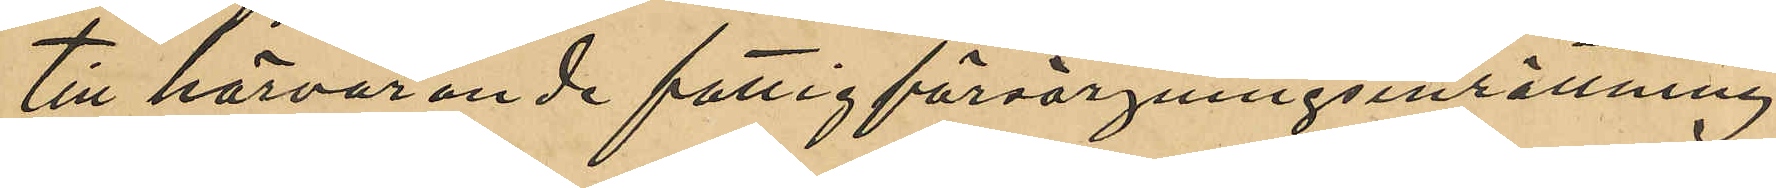till härvarande fattigförsörjningsinrättning.
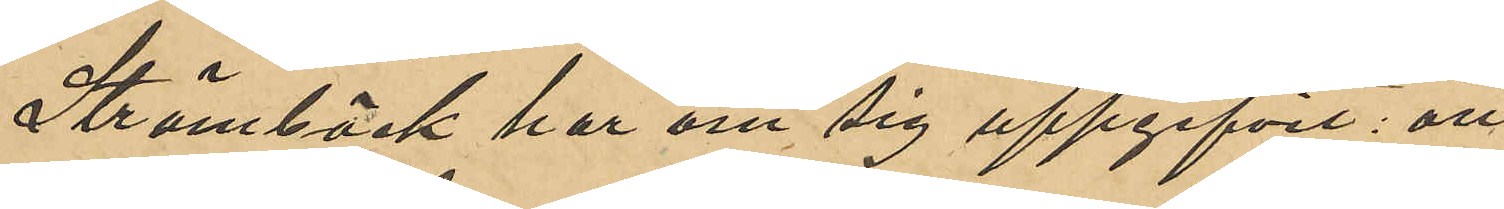Strömbäck har om sig uppgifvit att
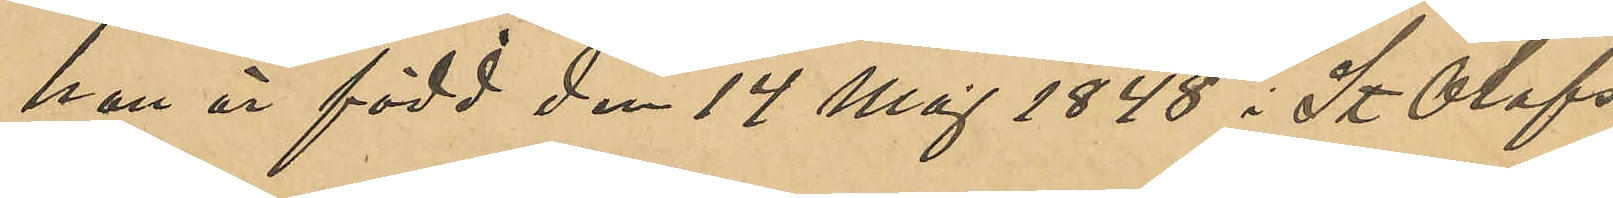han är född den 14 Maj 1848 i St Olofs
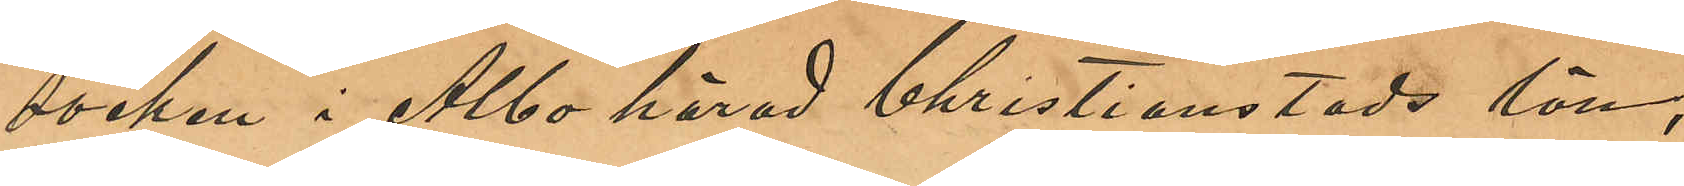socken i Albo härad Christianstads län,
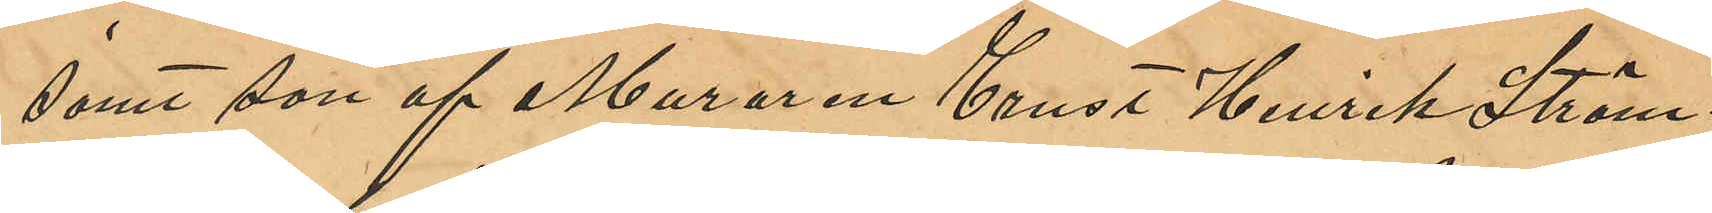samt son af Muraren Ernst Henrik Ström¬
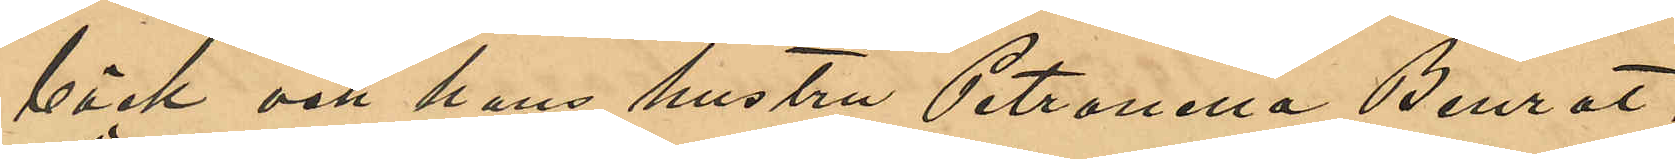bäck och hans hustru Petronella Benrat,
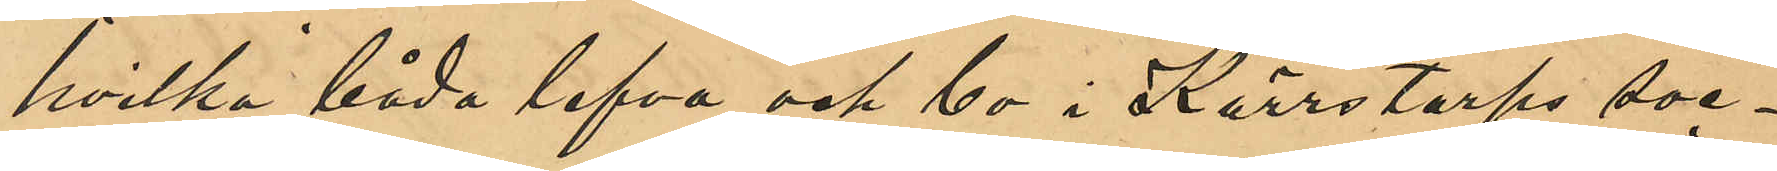hvilka båda lefva och bo i Kärrtorps soc¬
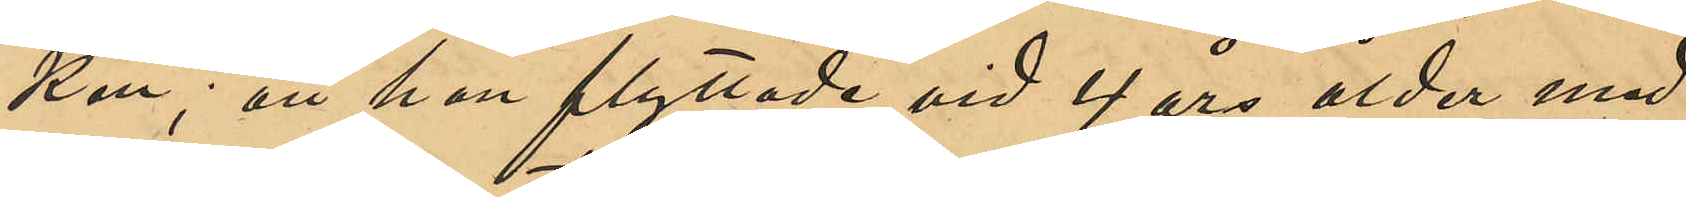ken; att han flyttade vid 4 års ålder med
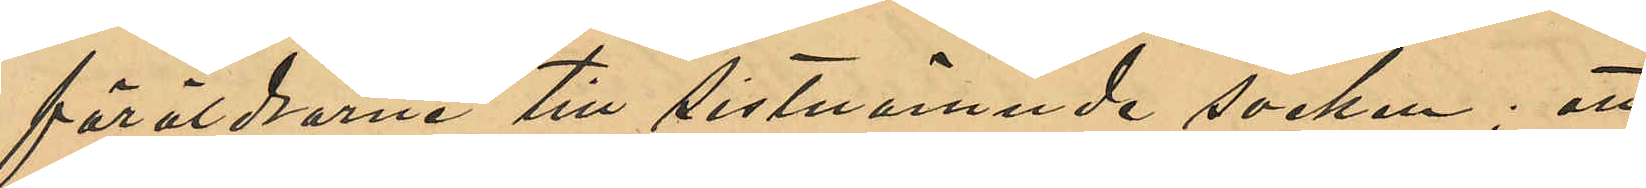föräldrarne till sistnämnde socken; att
